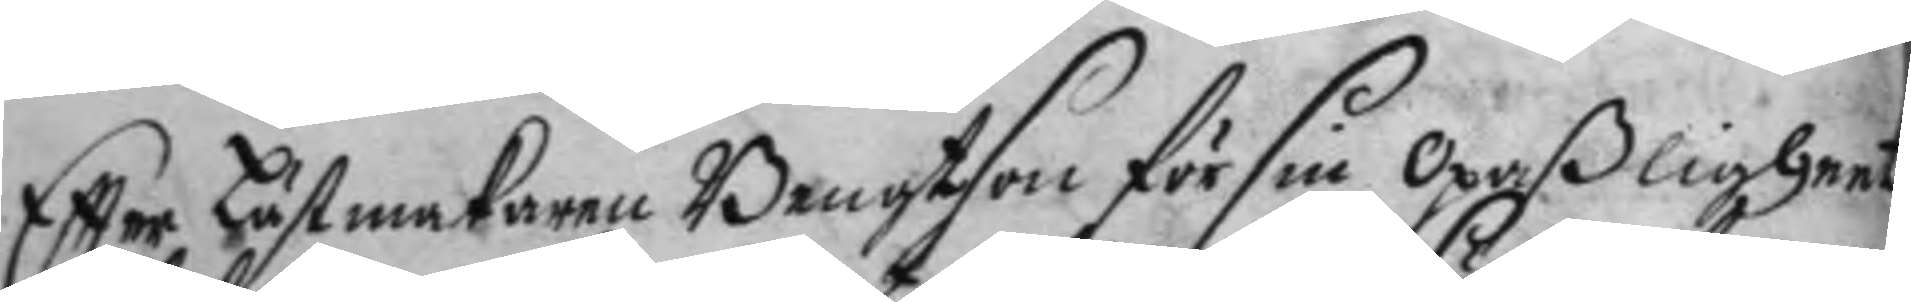Eftter Lästmakaren Bengtson för sin opaßligheet
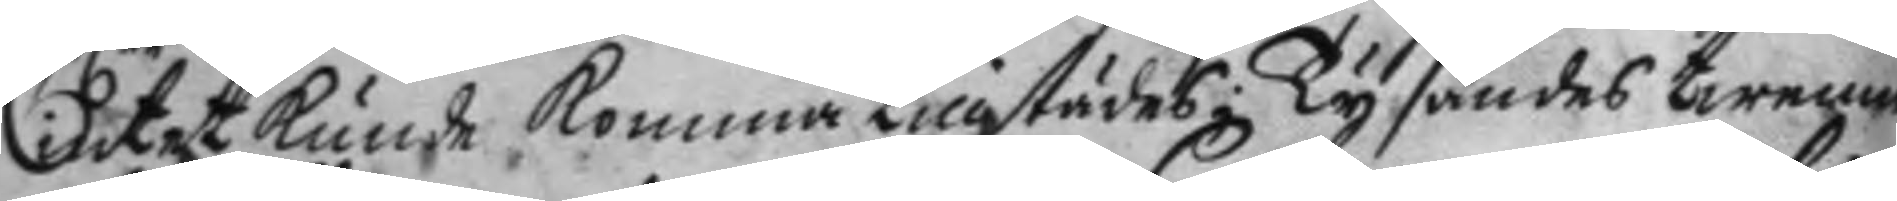intet kunde komma tillstädes; Ty sändes twenne
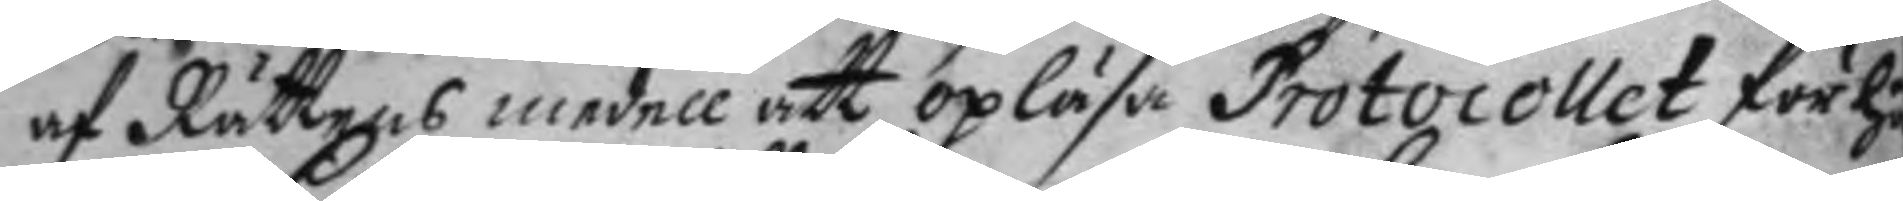af Rättens medell att opläsa Protocoller för hä
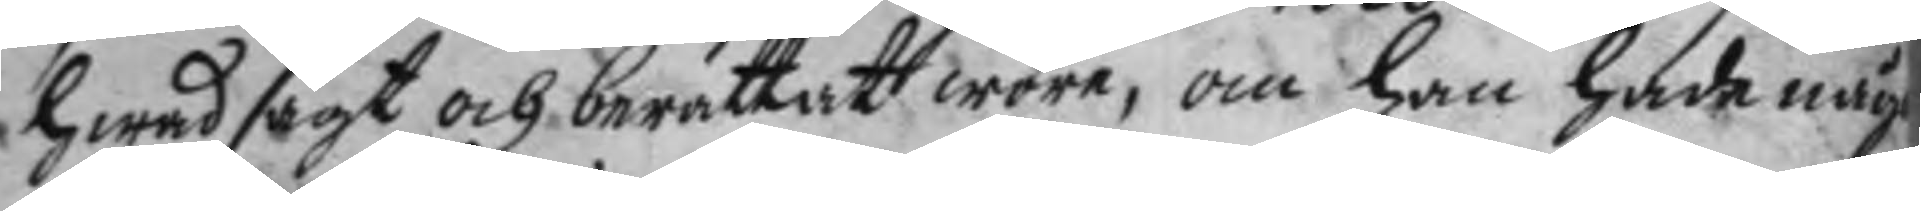hwad sagt och berättat wore, om han hade någr
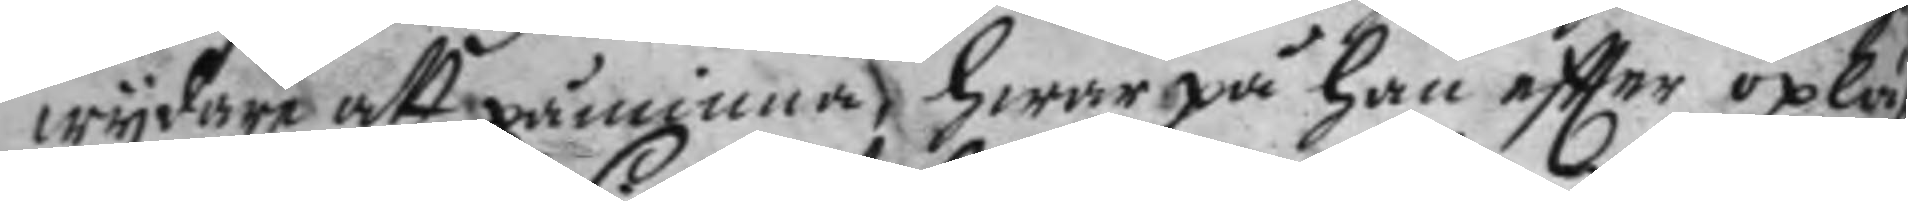wydare att påminna, hwar på han eftter opläst
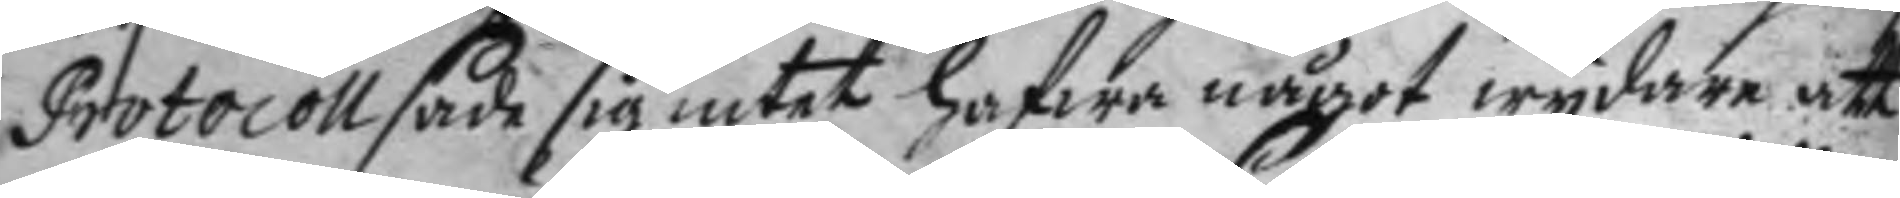Protocoll sade sig intet hafwa något wydare att
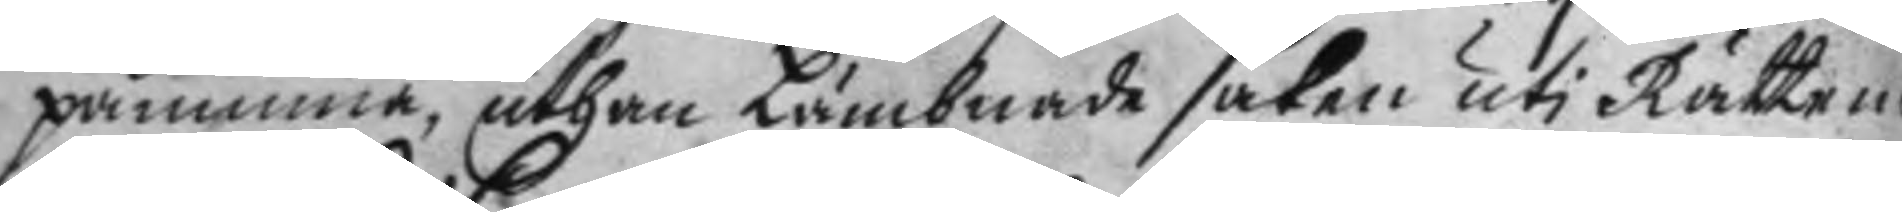påminna, uthan Lämbnade saken uti Rätte n
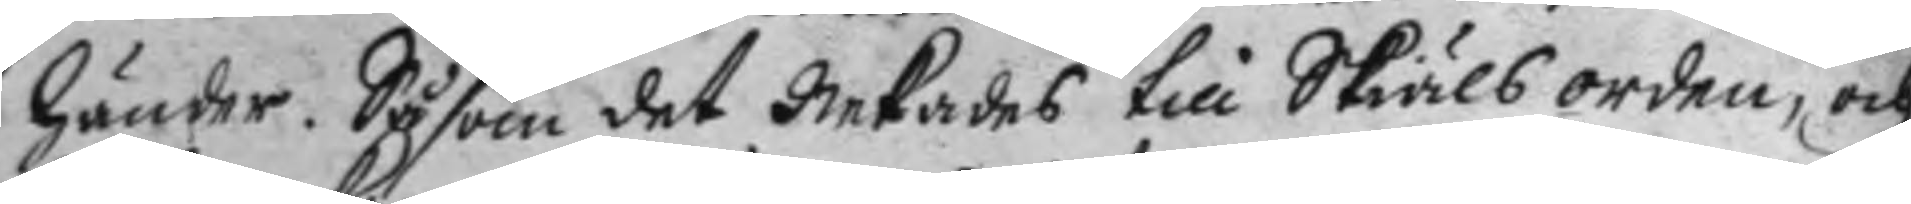händer. Såsom det Nekades till Skiäls orden, och
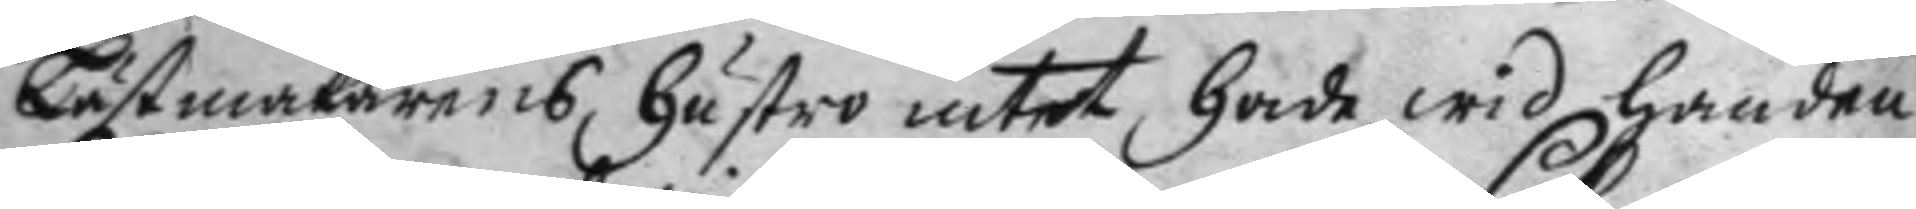Lästmakarens hustro intet hade wid handen
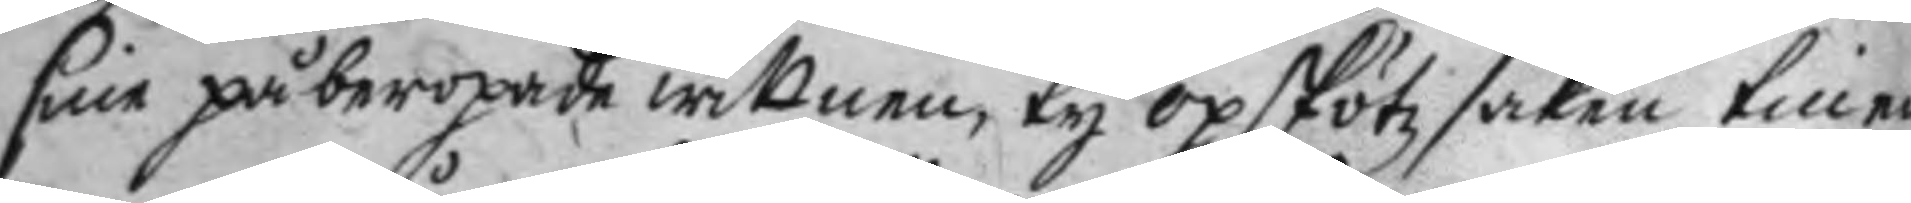sine påberopade wittnen, ty opskötz saken till en
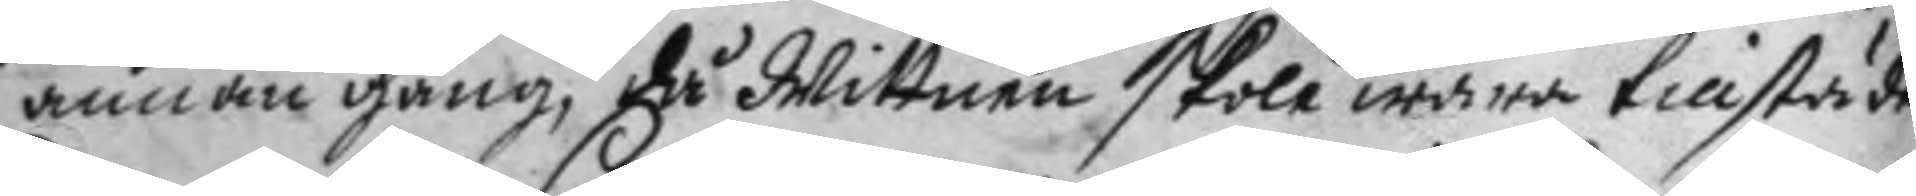annan gång, då Wittnen skola wara tillstädes
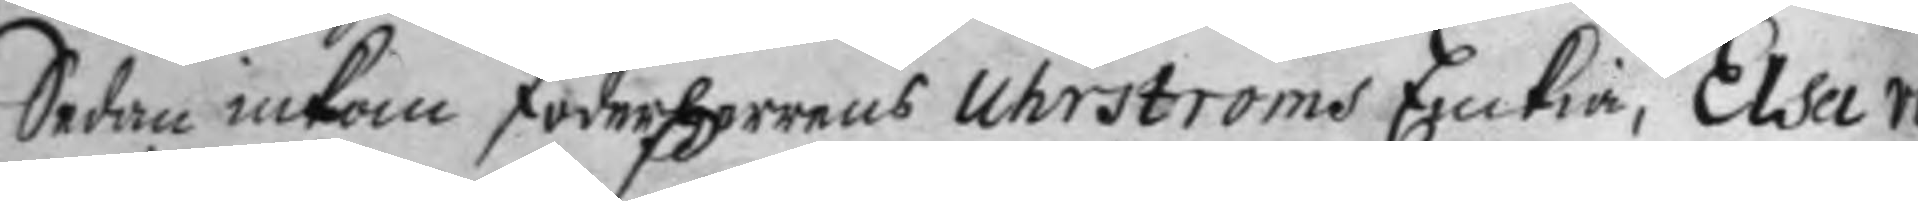Sedan inkom foderherrens Uhrströms Enkia, Elsa von
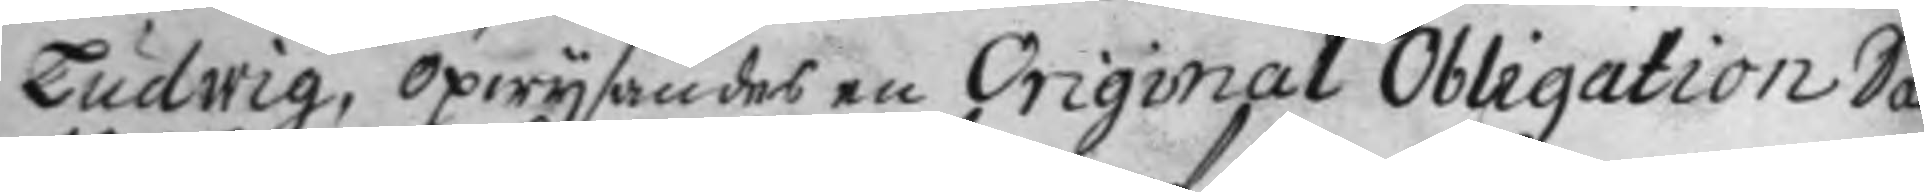Ludwig, opwysandes en Original Obligation Dat
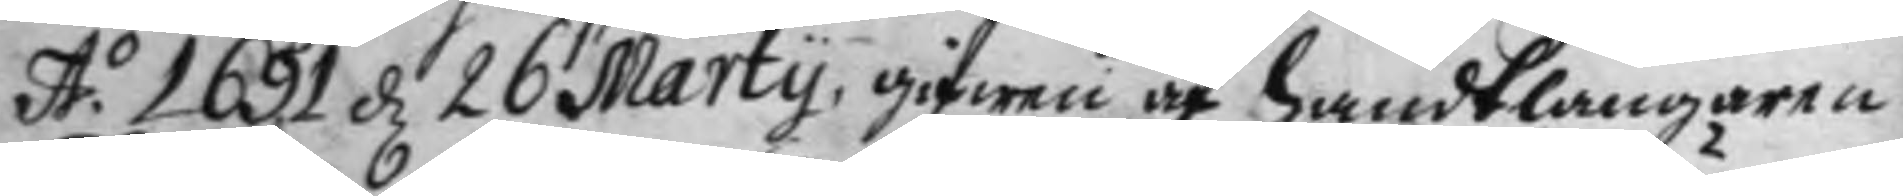A.o 1691 d 26 Marty, gifwen af handtlangaren
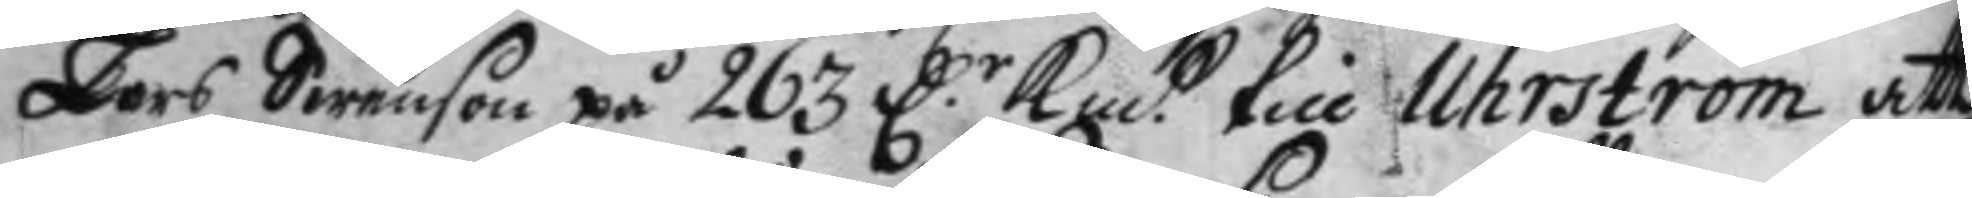Lars Swenson på 263 D.r Kmt. till Uhrström att
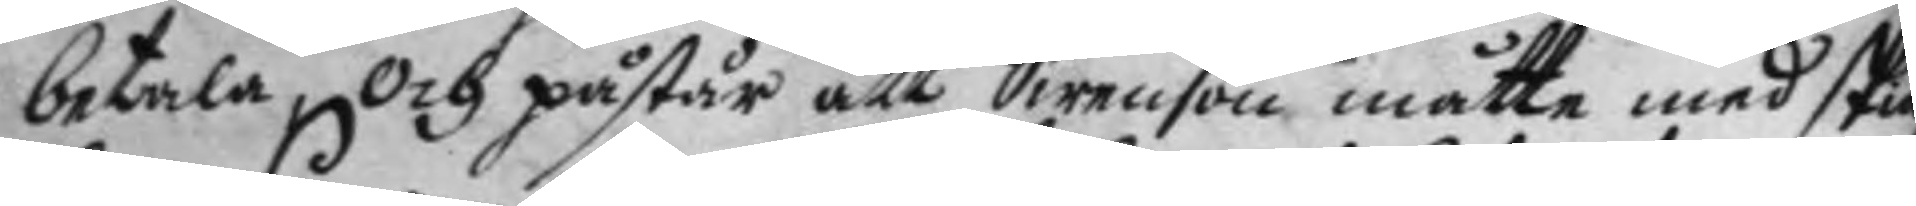betala och påstår att Swenson måtte med skie
